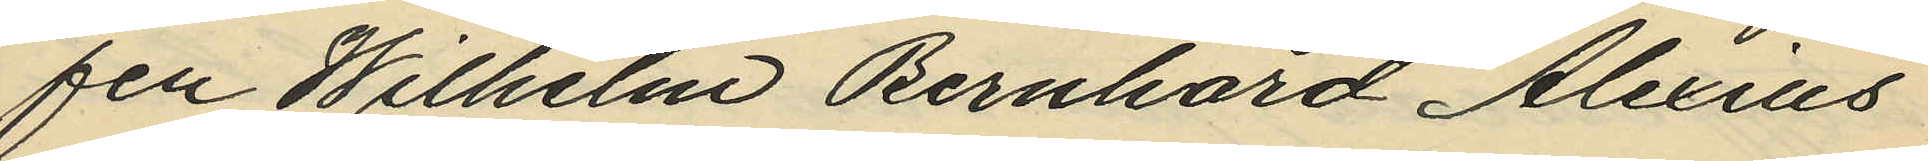fen Wilhelm Bernhard Alexius
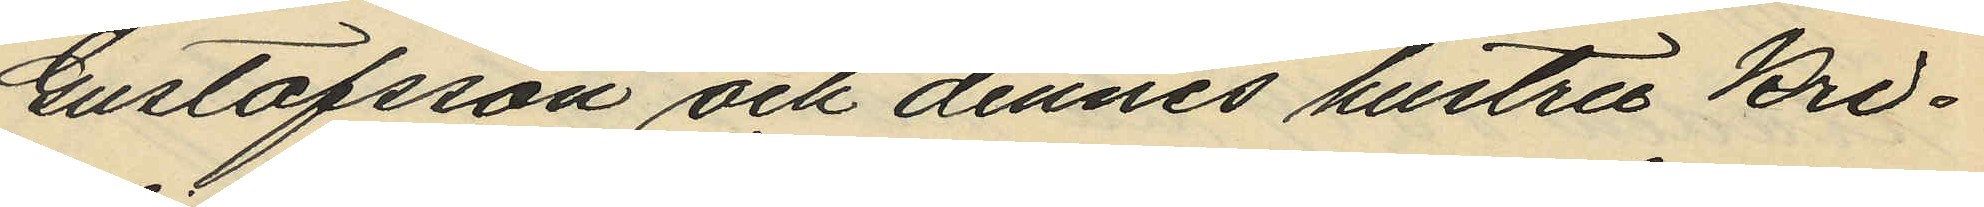Gustafsson och dennes hustru Kri¬
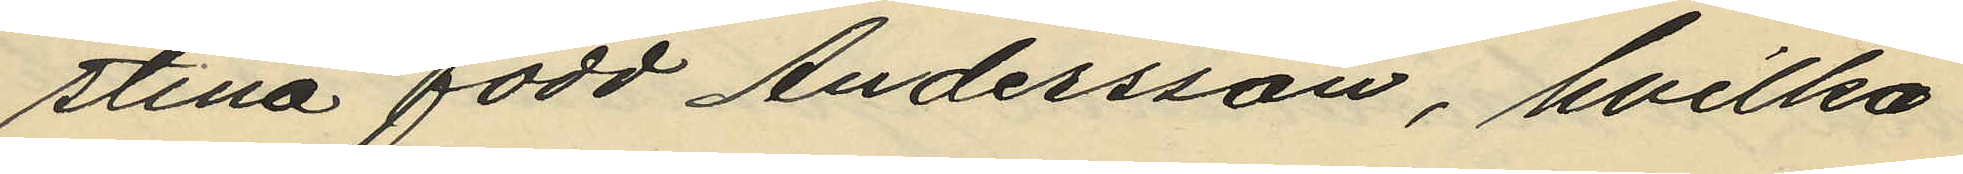stina född Andersson, hvilka
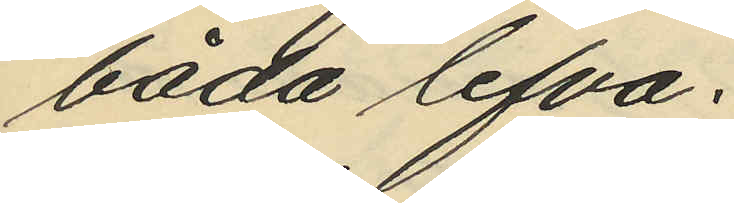båda lefva;
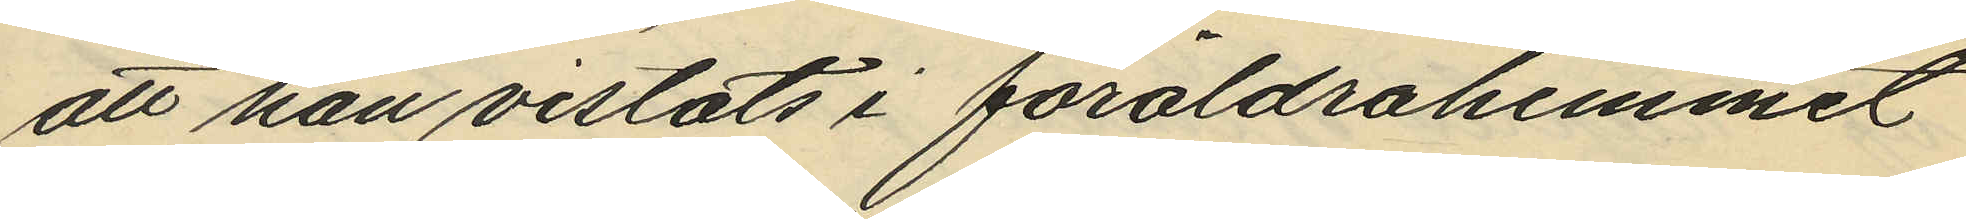att han vistats i föräldrahemmet
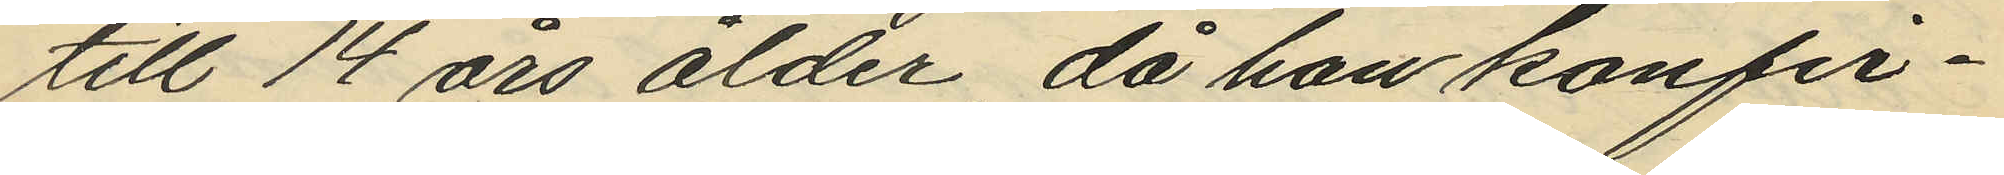till 14 års ålder, då han konfir¬
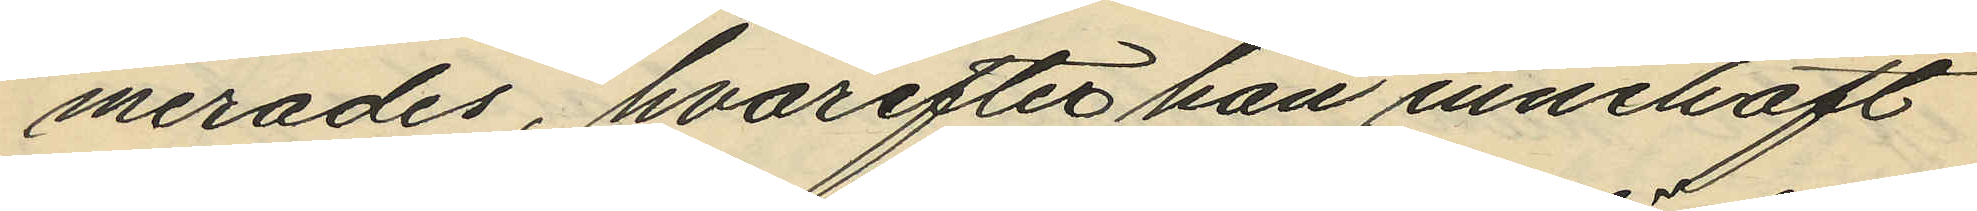merades, hvarefter han innehaft
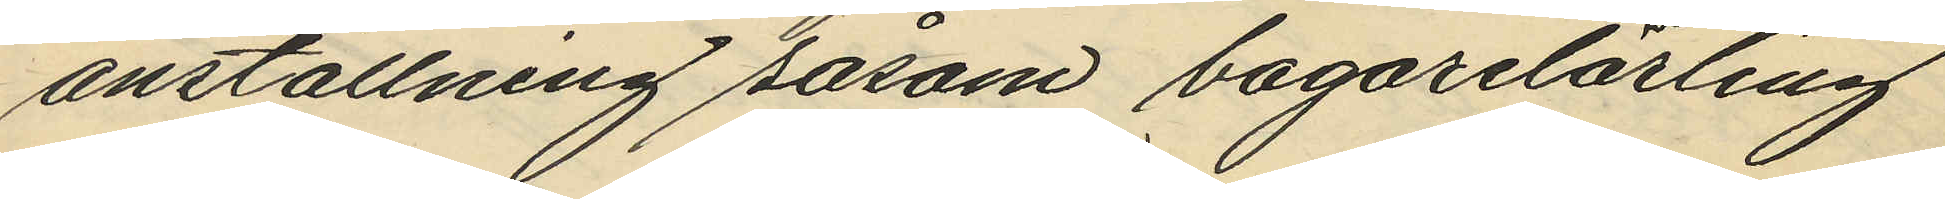anställning såsom bagarelärling
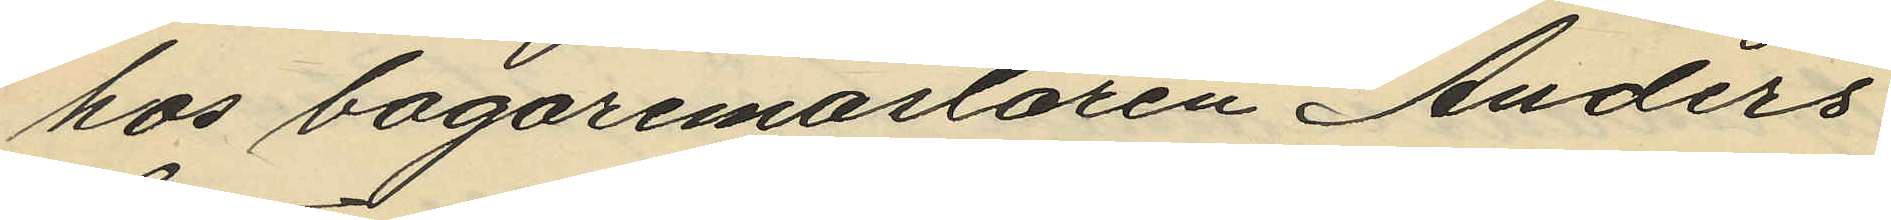hos bagaremästaren Anders
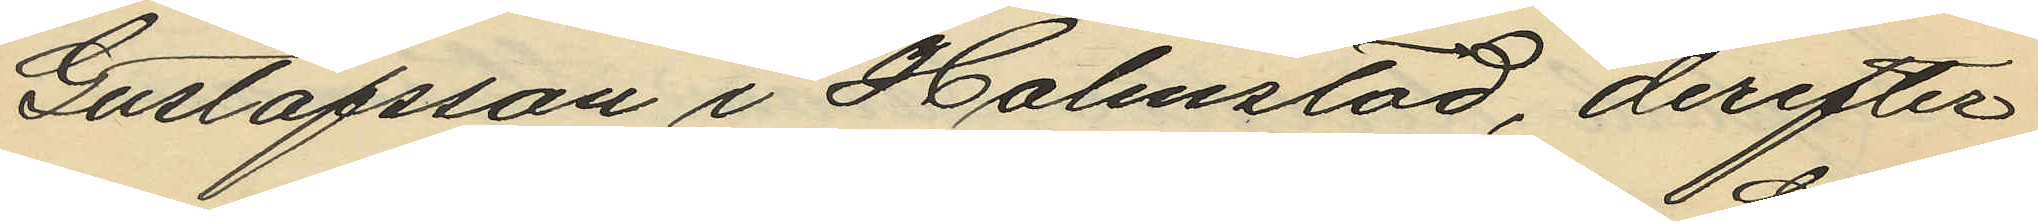Gustafsson i Halmstad, derefter
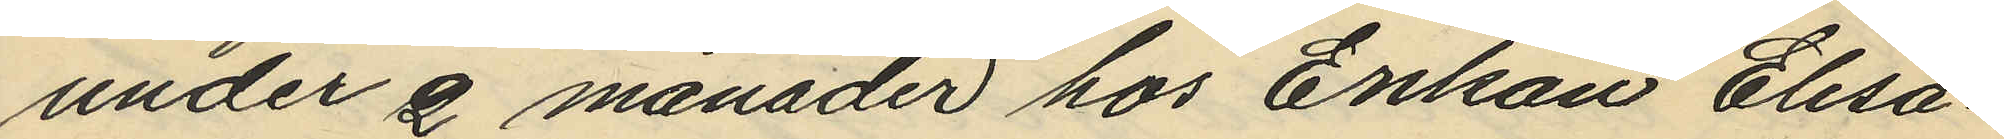under 2 månader hos Enkan Elisa¬
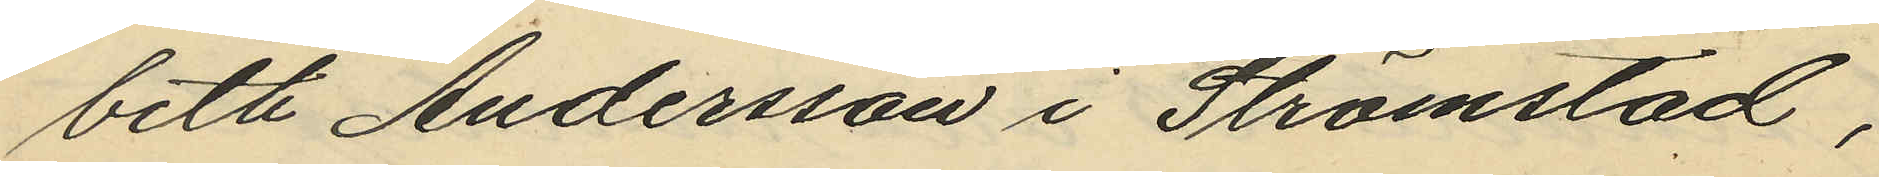beth Andersson i Strömstad,
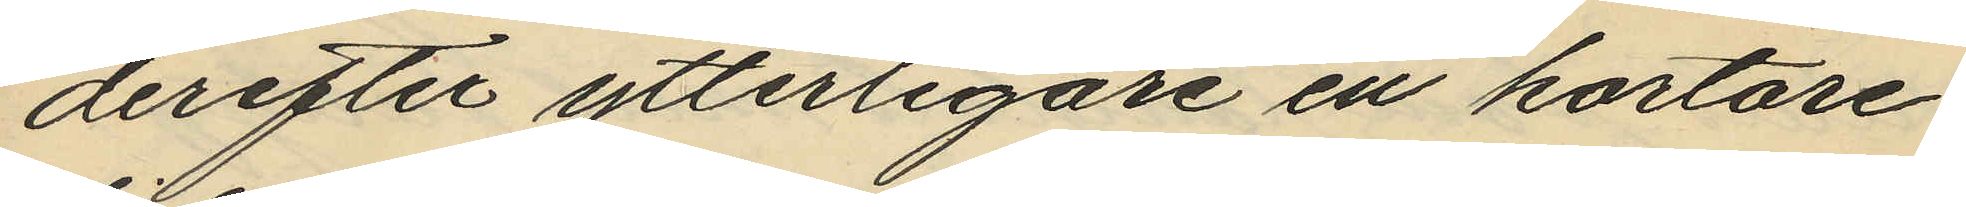derefter ytterligare en kortare
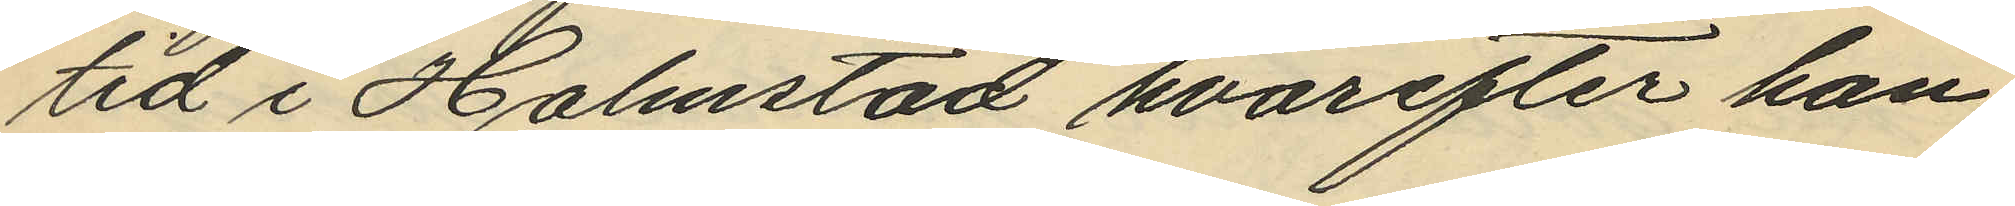tid i Halmstad hvarefter han
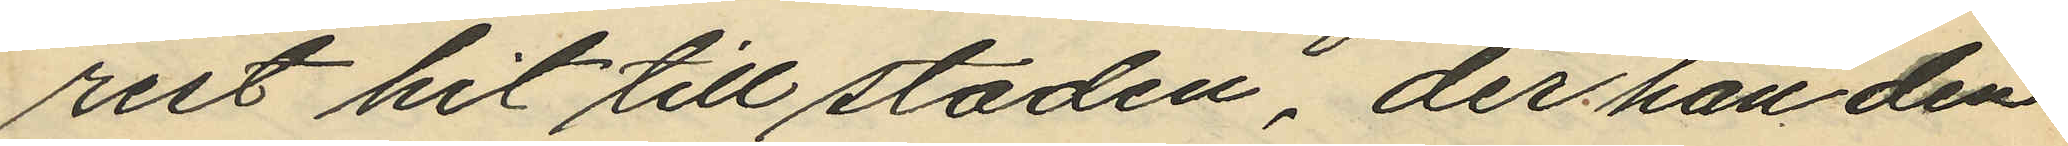rest hit till staden, der han den
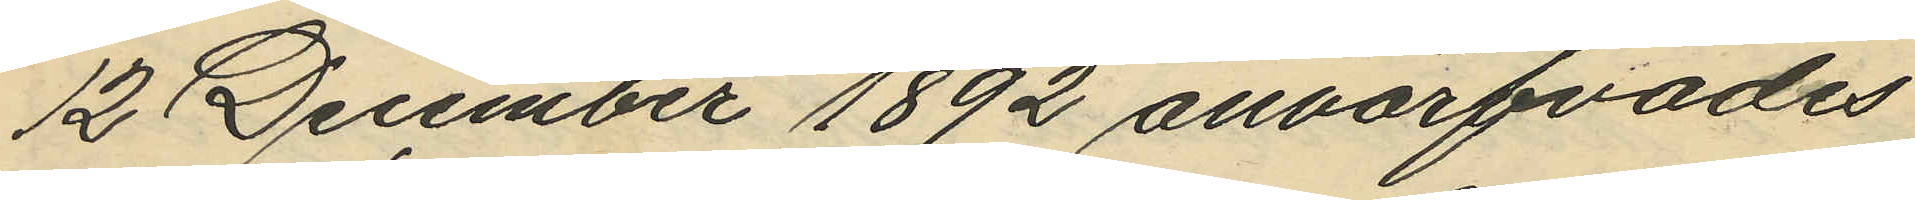12 December 1892 anvärfvades
